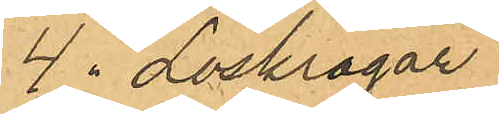4 " Löskrogar
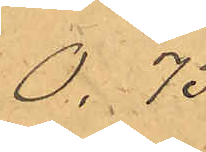0. 75.
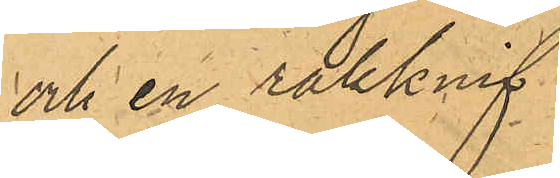och en rakknif
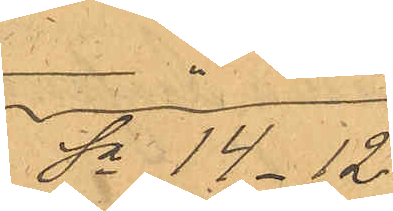Sa 14.12.
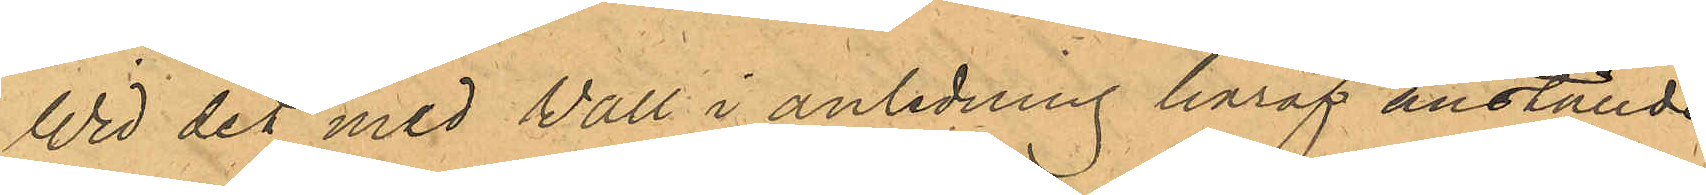Wid det med Vall i anledning häraf anställde
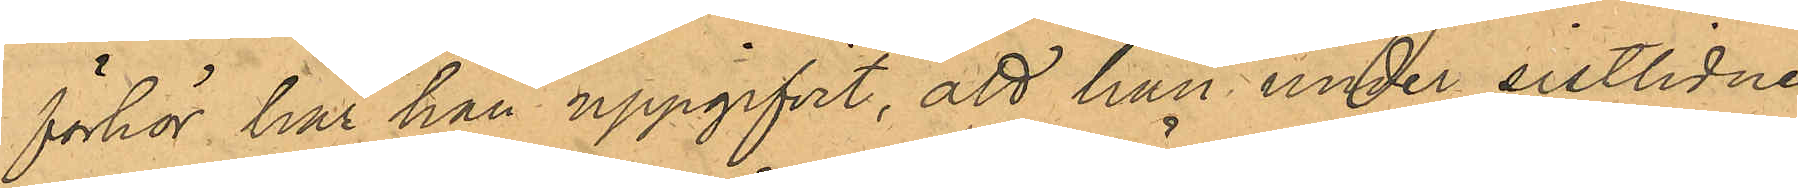förhör har han uppgifvit, att han under sistlidne
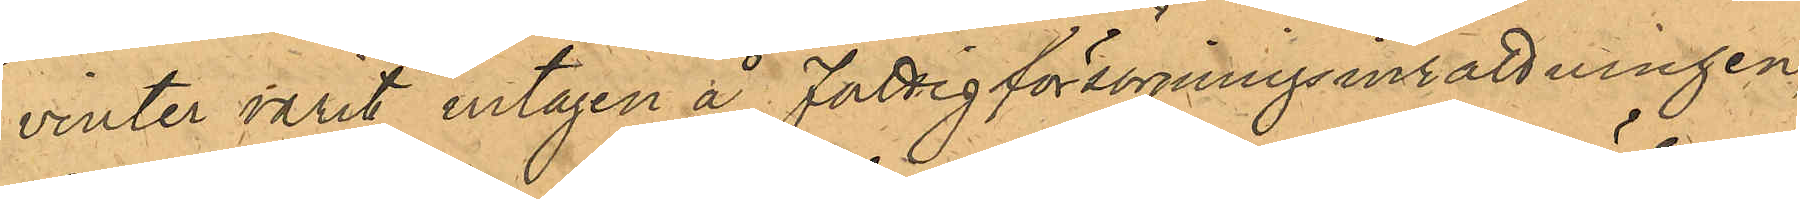vinter varit intagen å Fattigförsörjningsinrättningen,
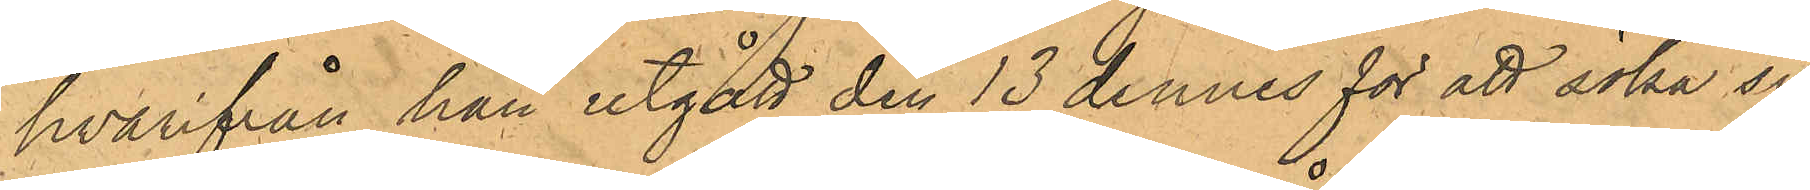hvarifrån han utgått den 13 dennes för att söka sig
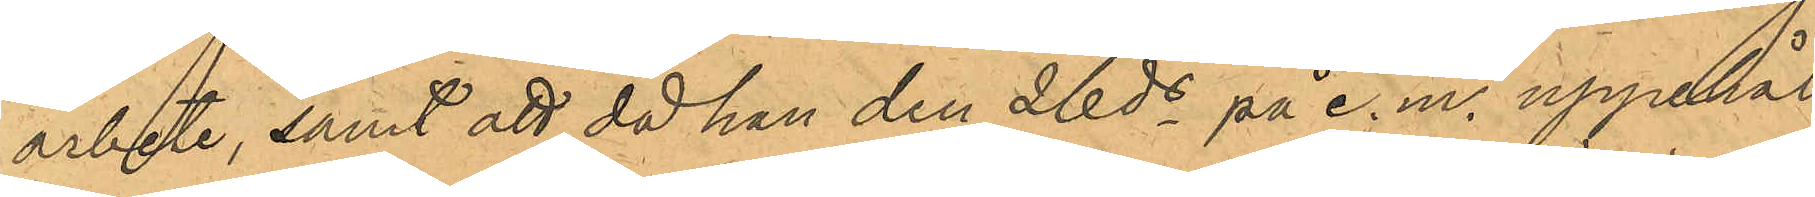arbete, samt att då han den 26 ds på e.m. uppehål¬
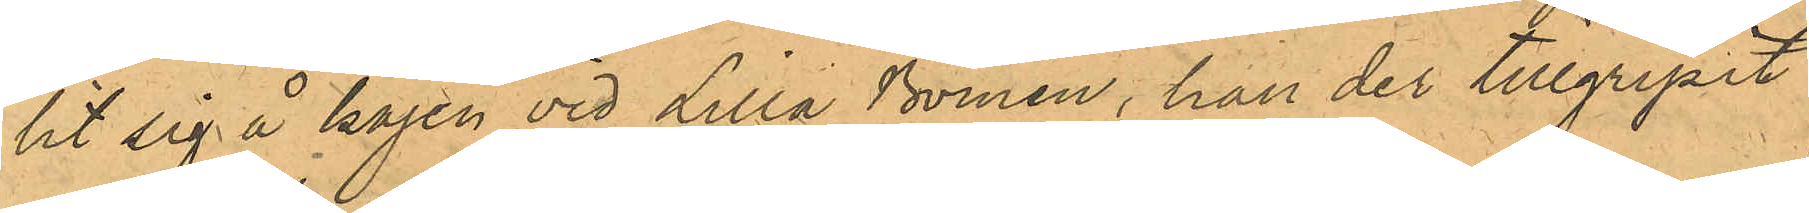lit sig å kajen vid Lilla Bomen, han der tillgripit
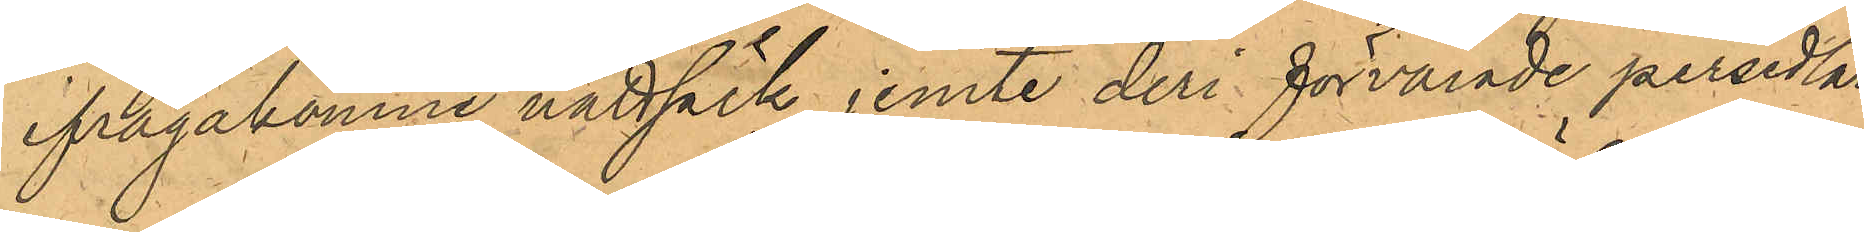ifrågakomne nattsäck jemte deri förvarade persedlar.
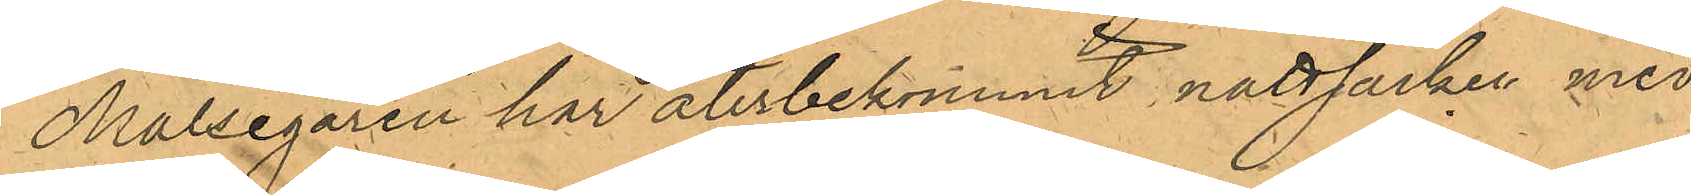Målsegaren har återbekommit nattsäcken med
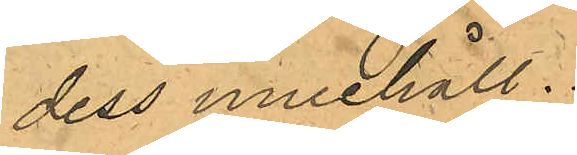dess innehåll.
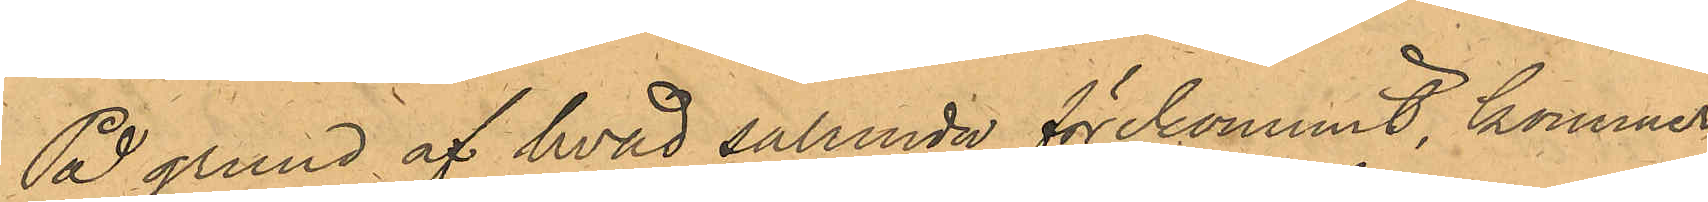På grund af hvad sålunda förekommit, kommer
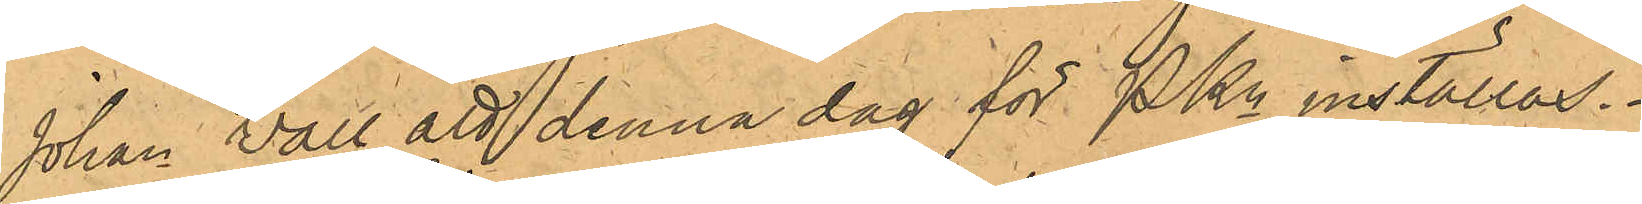Johan Vall att denna dag för PKn inställas.
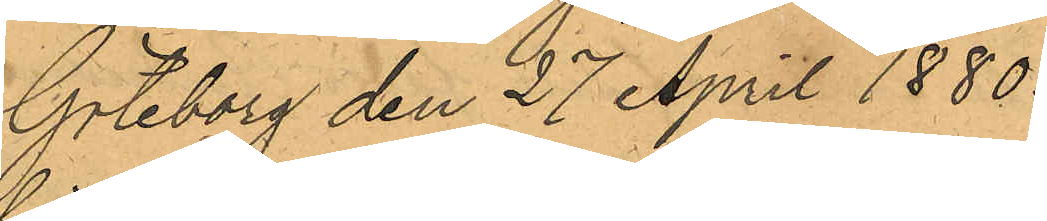Göteborg den 27 April 1880.
